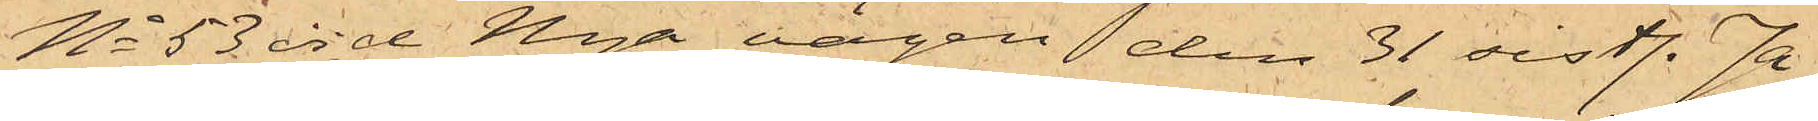No 53 vid Nya vägen den 31 sistl. Ja¬
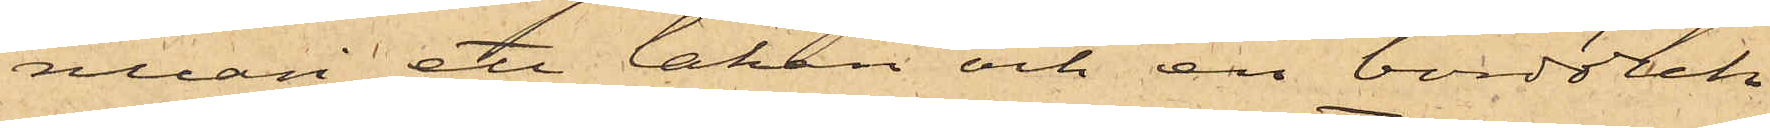nuari ett lakan och en bordduk
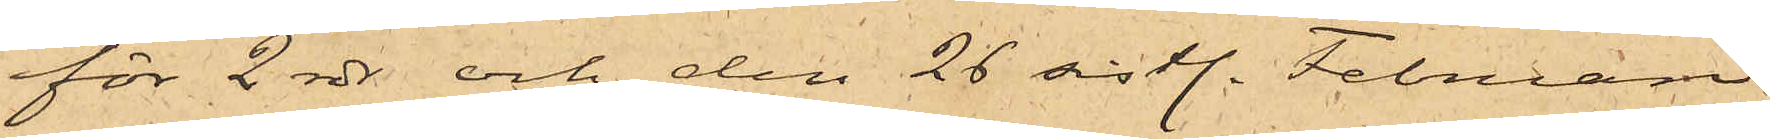för 2 rdr och den 26 sistl. Februari
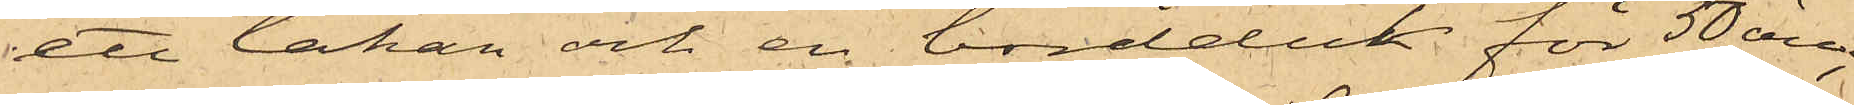ett lakan och en bordduk för 50 öre;
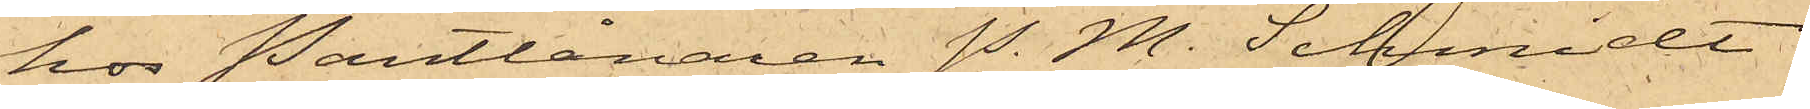hos Pantlånaren P. M. Schmidt
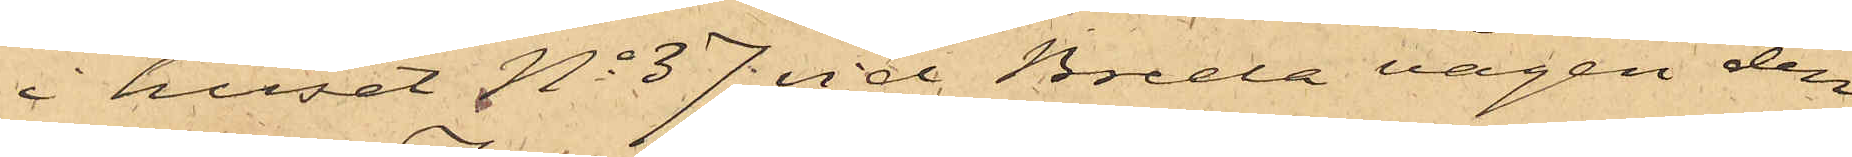i huset No 37 vid Breda vägen den
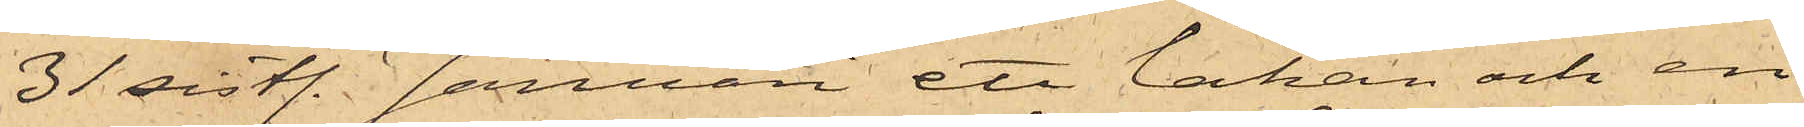31 sistl. Januari ett lakan och en
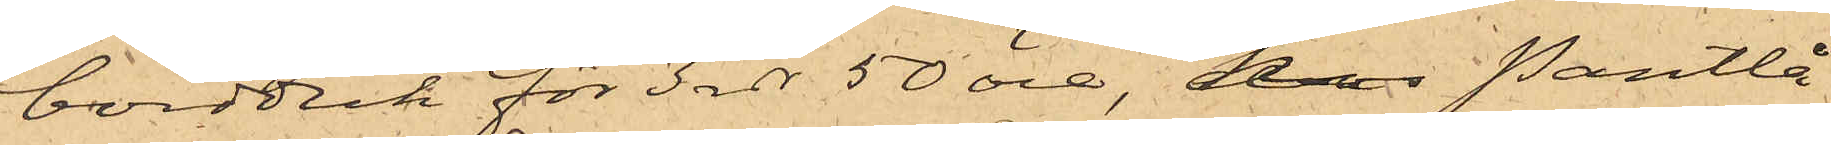bordduk för 3 rdr 50 öre, hos Pantlå¬
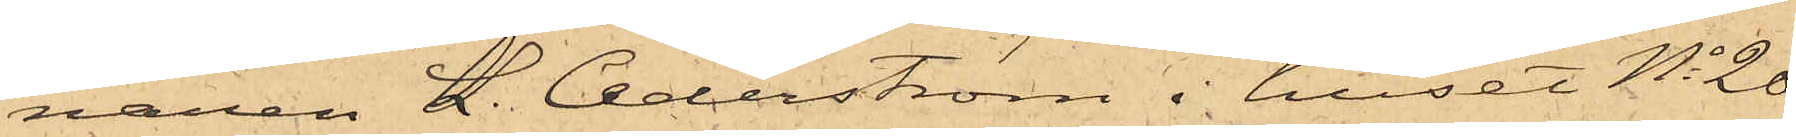naren L. Cederström i huset No 20
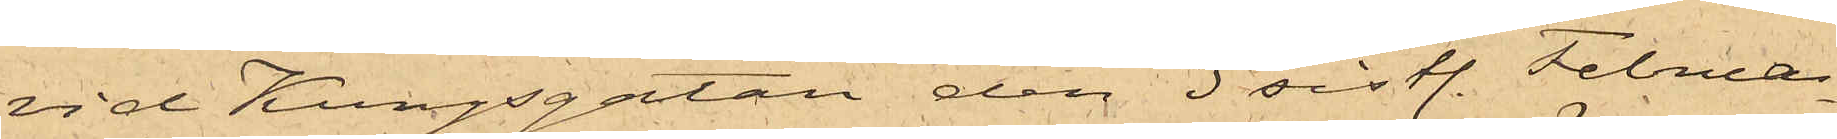vid Kungsgatan den 3 sistl. Februa¬
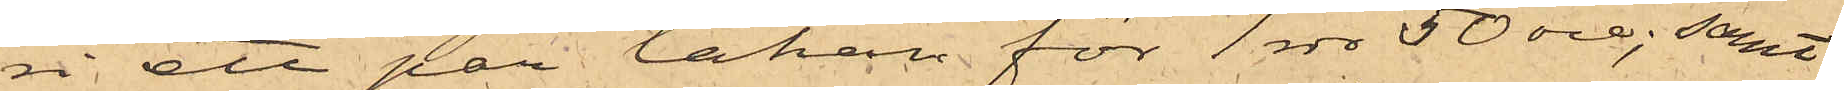ri ett par lakan för 1 rdr 50 öre; samt
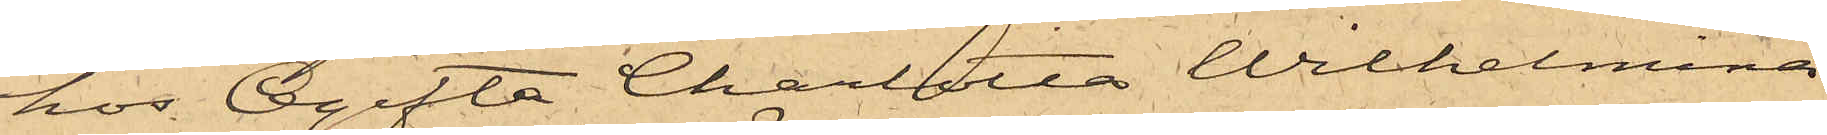hos Ogifta Charlotta Wilhelmina
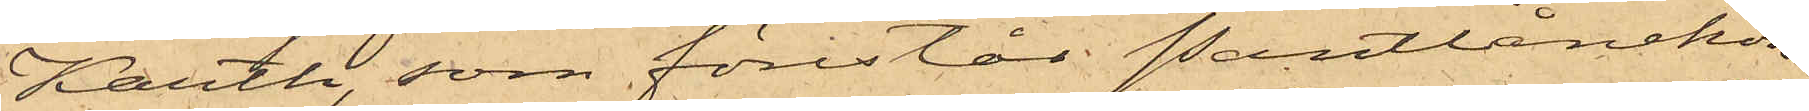Karth, som förestår Pantlånekon¬
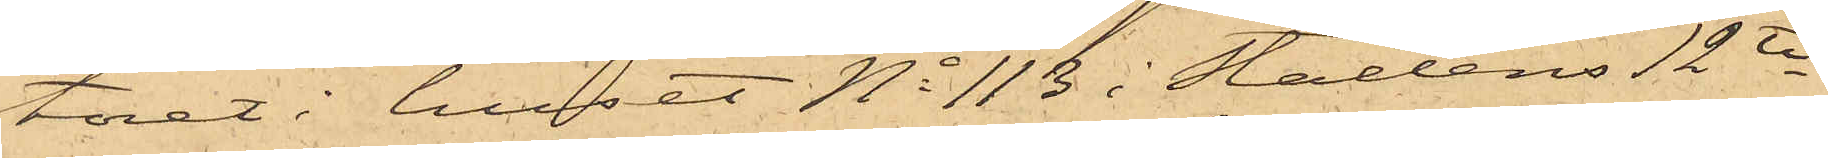toret i huset No 113 i Stadens 12te
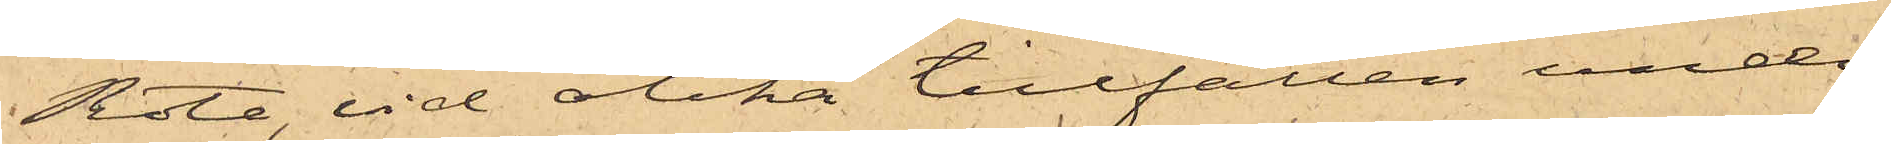Rote, vid olika tillfällen under
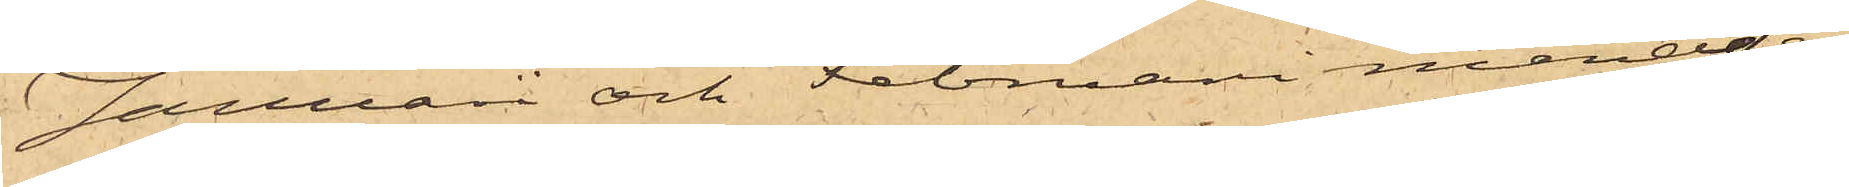Januari och Februari månader
